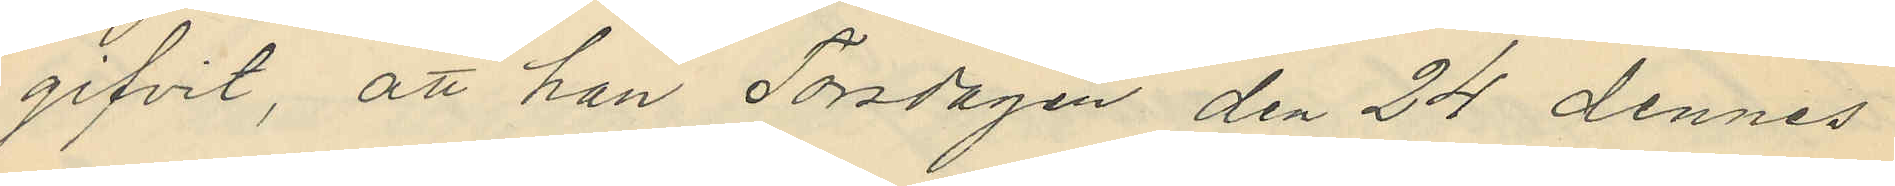gifvit, att han Torsdagen den 24 dennes
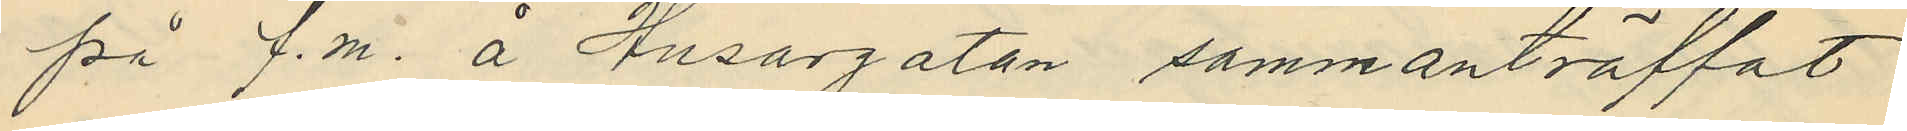på f.m. å Husargatan sammanträffat
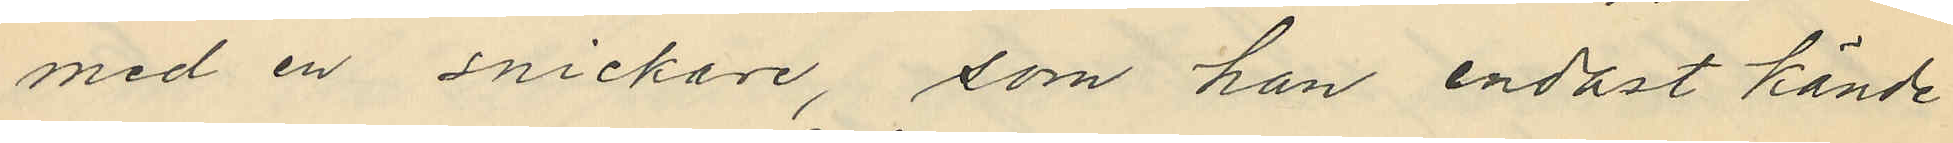med en snickare, som han endast kände
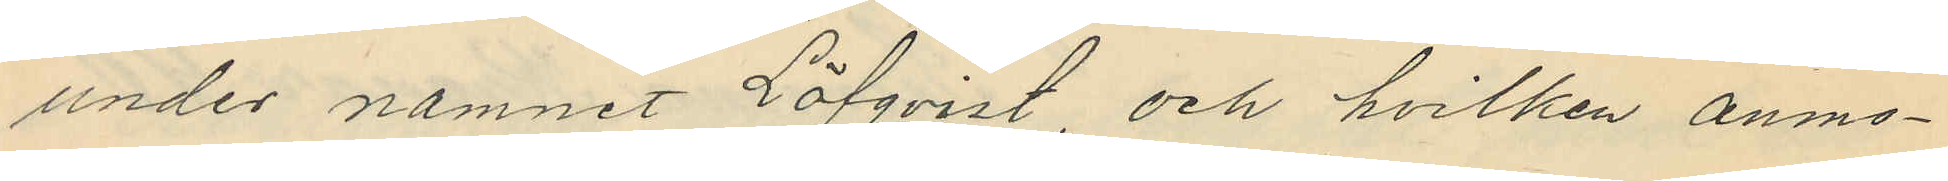under namnet Löfqvist, och hvilken anmo¬
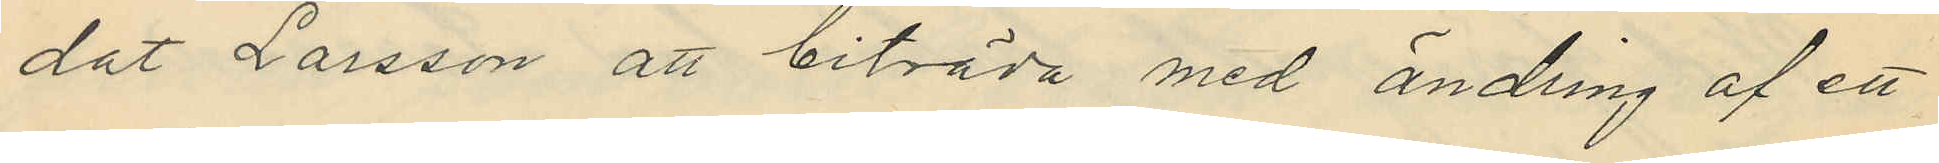dat Larsson att biträda med ändring af ett
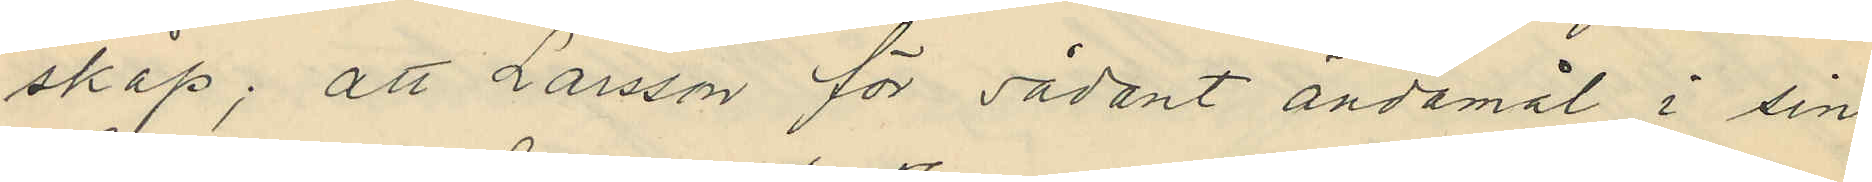skåp; att Larsson för sådant ändamål i sin
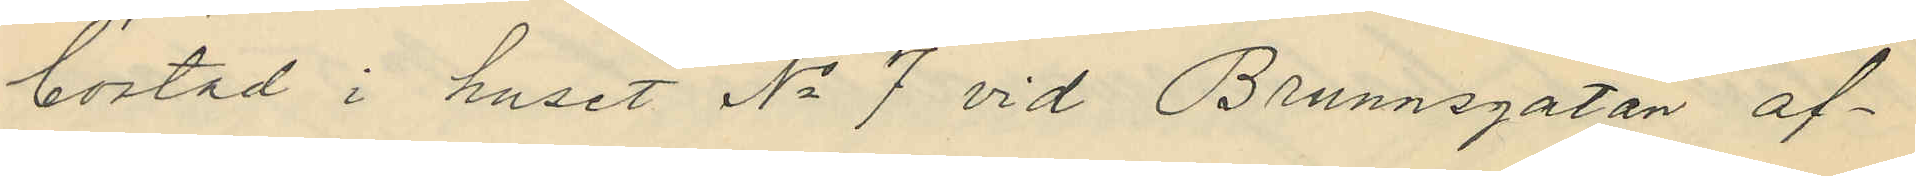bostad i huset No 7 vid Brunnsgatan af¬
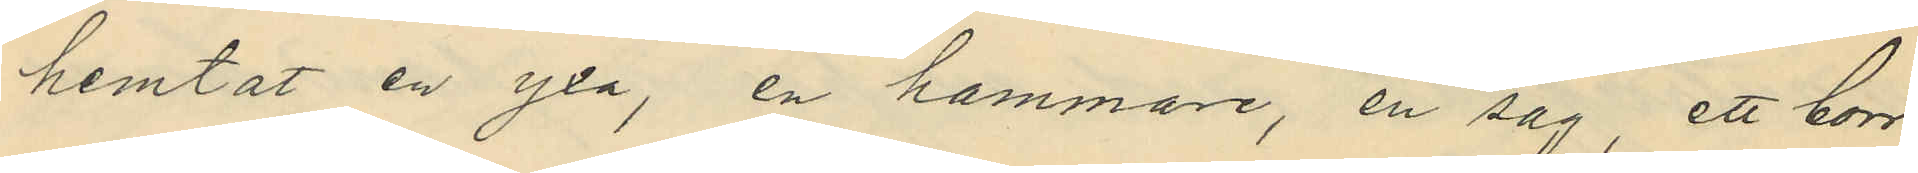hemtat en yxa, en hammare, en såg, ett borr
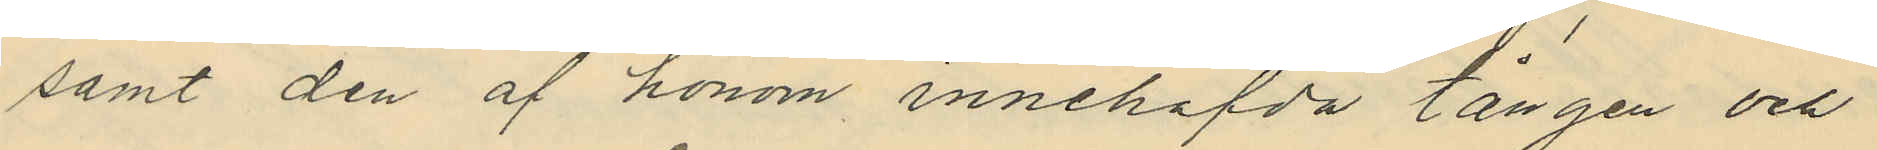samt den af honom innehafda tången och
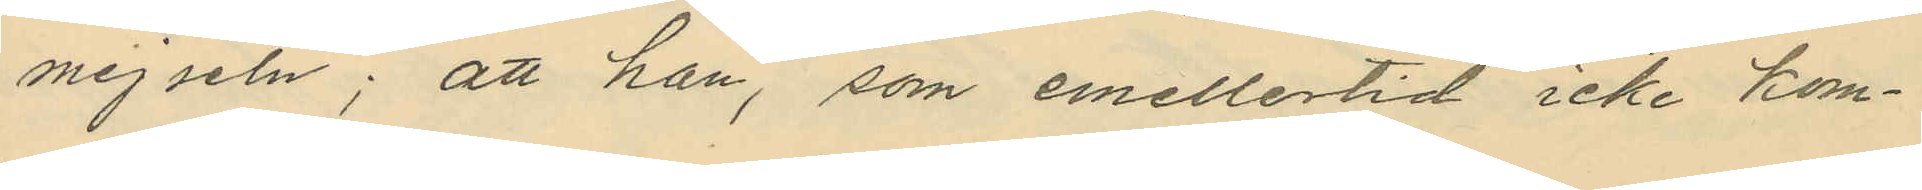mejseln; att han, som emellertid icke kom¬
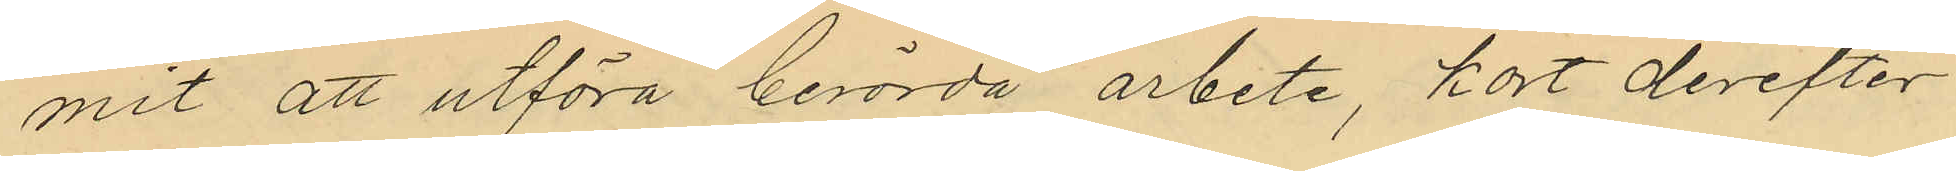mit att utföra berörda arbete, kort derefter
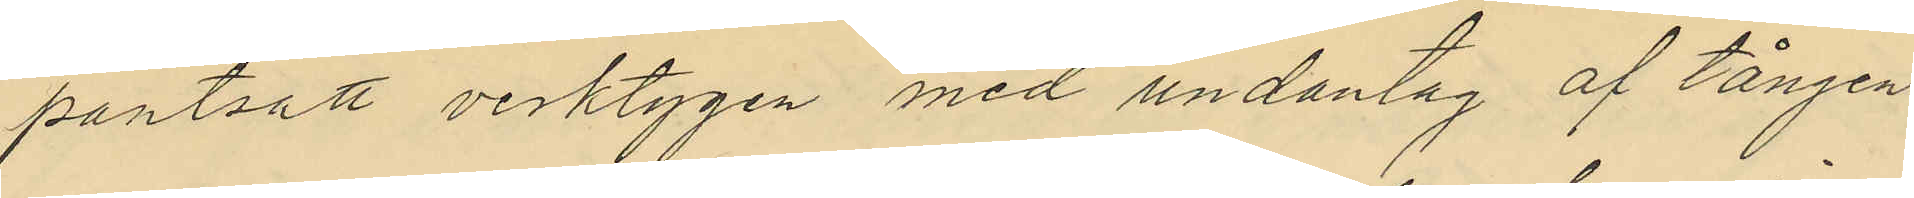pantsatt verktygen med undantag af tången
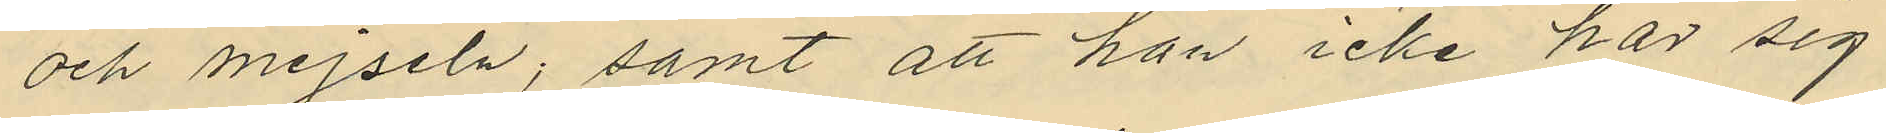och mejseln; samt att han icke har sig
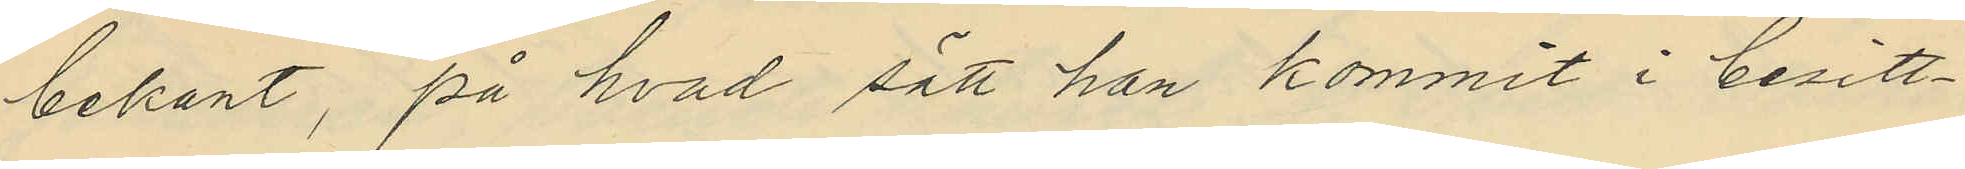bekant, på hvad sätt han kommit i besitt¬
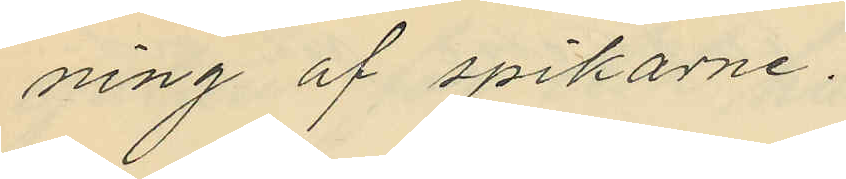ning af spikarne.
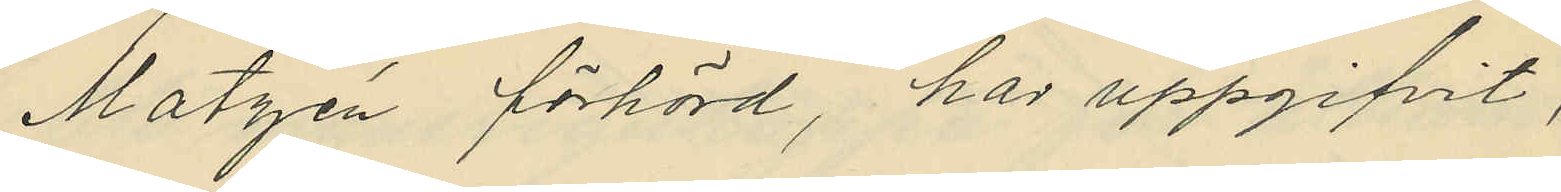Matzén förhörd, har uppgifvit,
